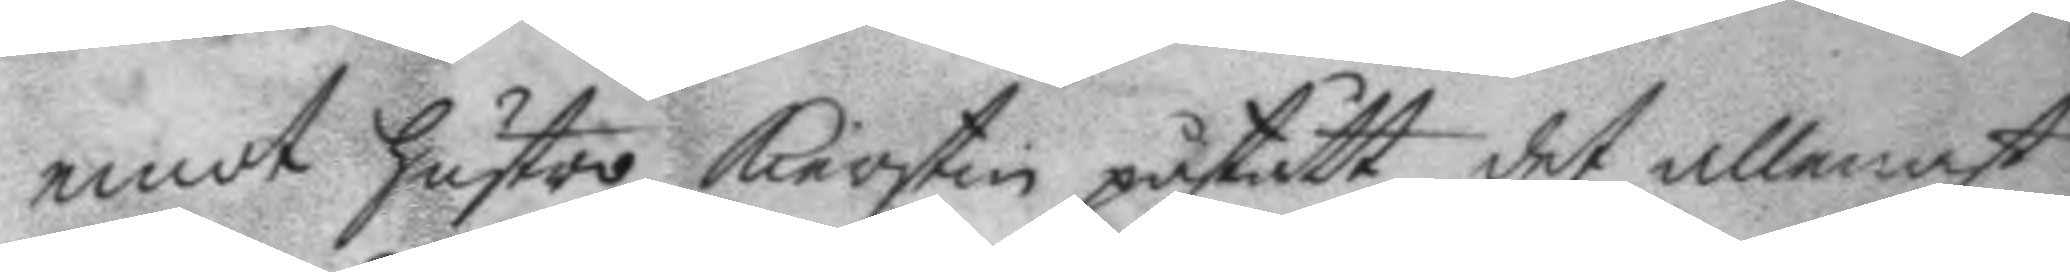emot hustro Kierstin påstått det allenast
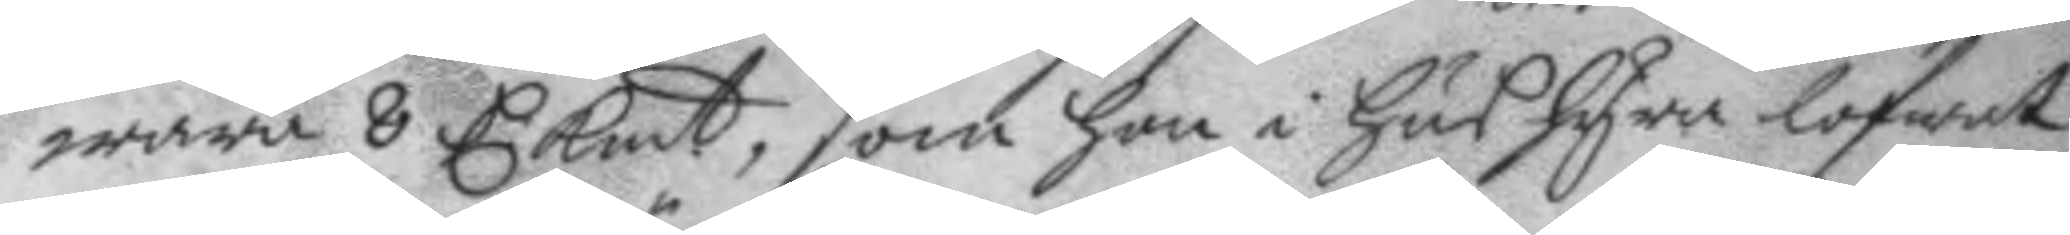wara 8 C: Kmt, som hon i hushyra lofwat
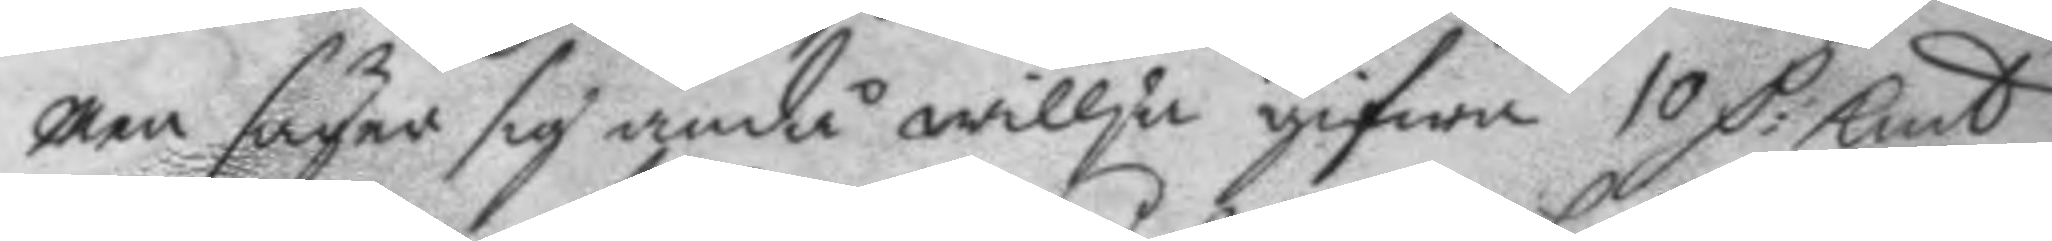men säger sig ändå willja gifwa 10 C: Kmt
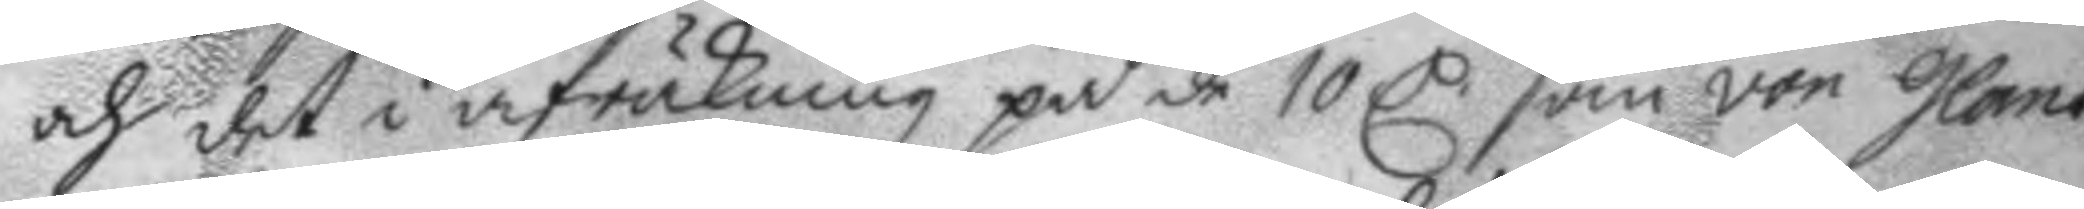och det i afräkning på de 10 C: som von Glans
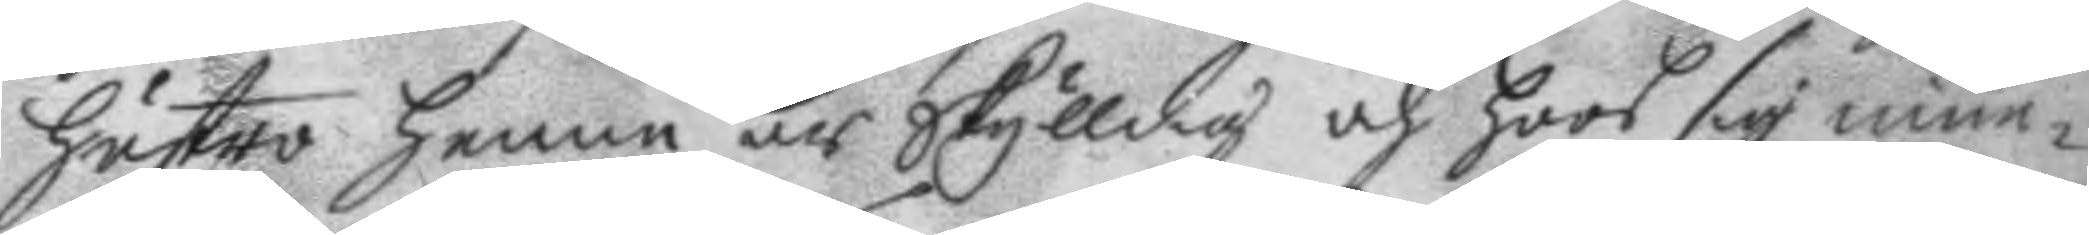hustro henne är Skylldig och hoos sig inne¬
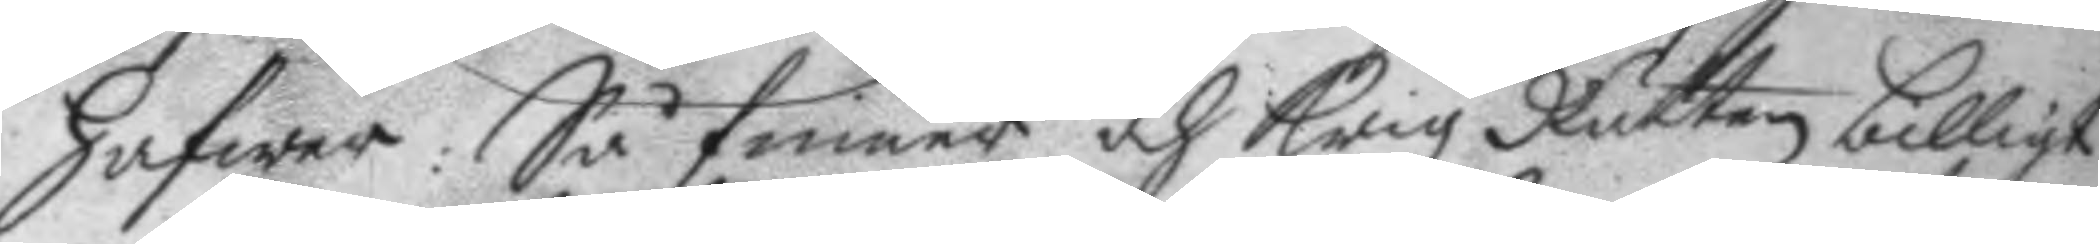hafwer: Så finner och Krigz Rätten billigt
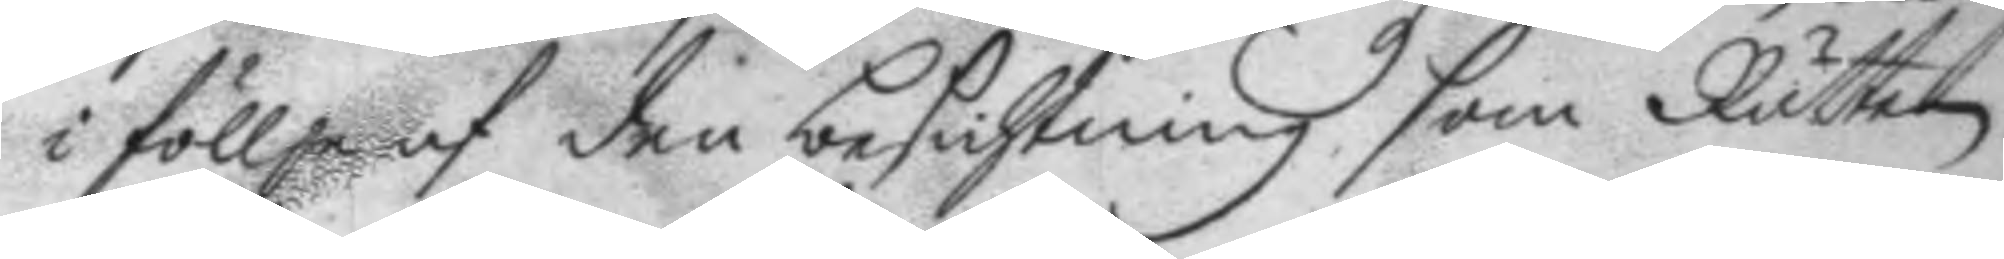i föllje af den besichtning som Rätten
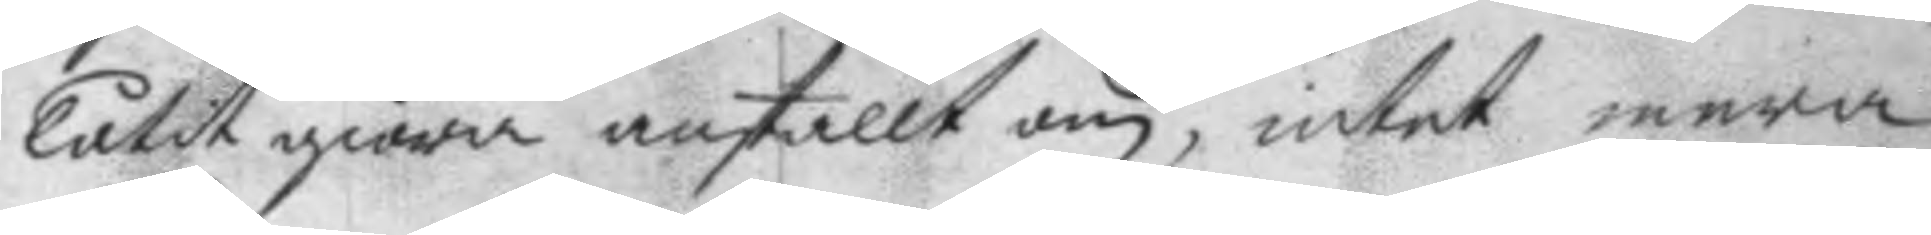låtit giöra anstallt om, intet mera
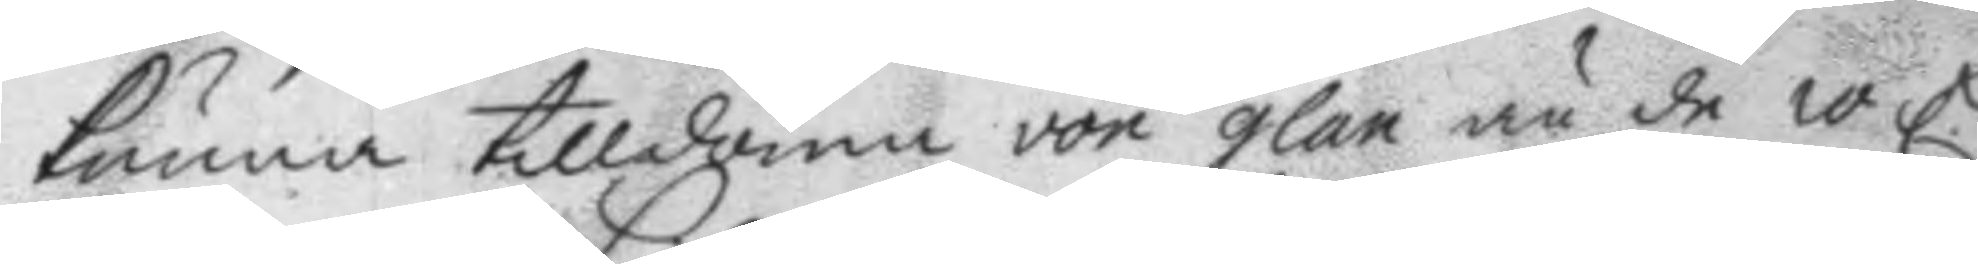kunna tilldöma von glan än de 10 C.
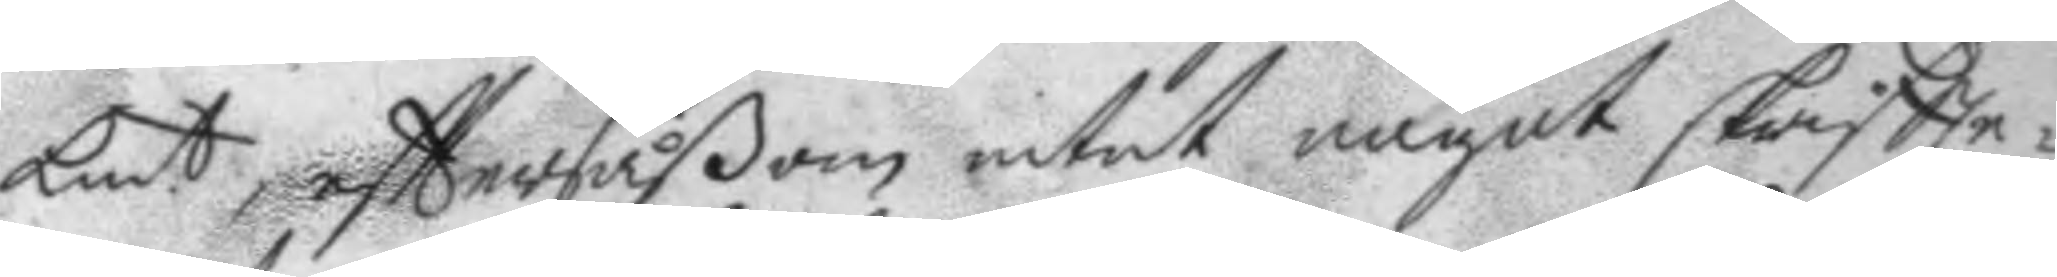Kmt, efttersåßom intet något skriftte¬
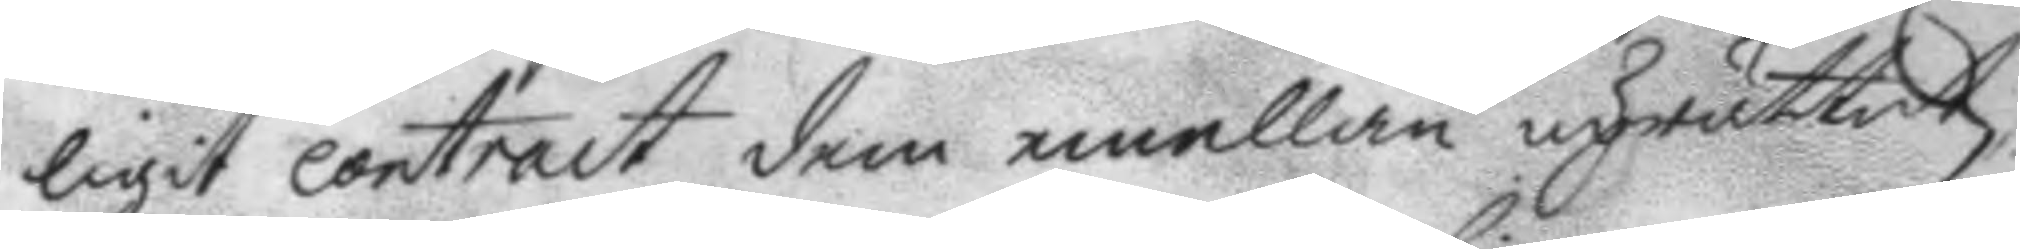ligit contract dem emellan uprättats,
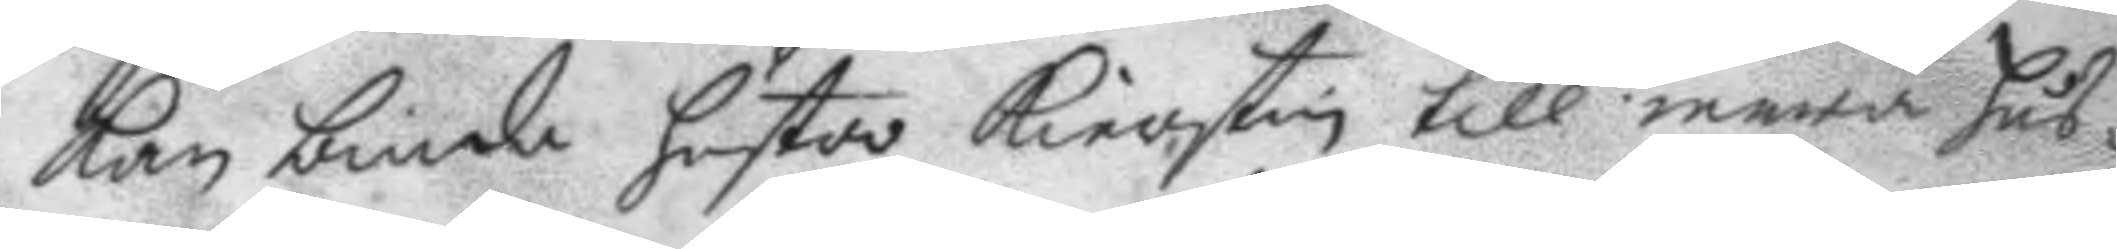kan binda hustro Kierstin till mera hus¬
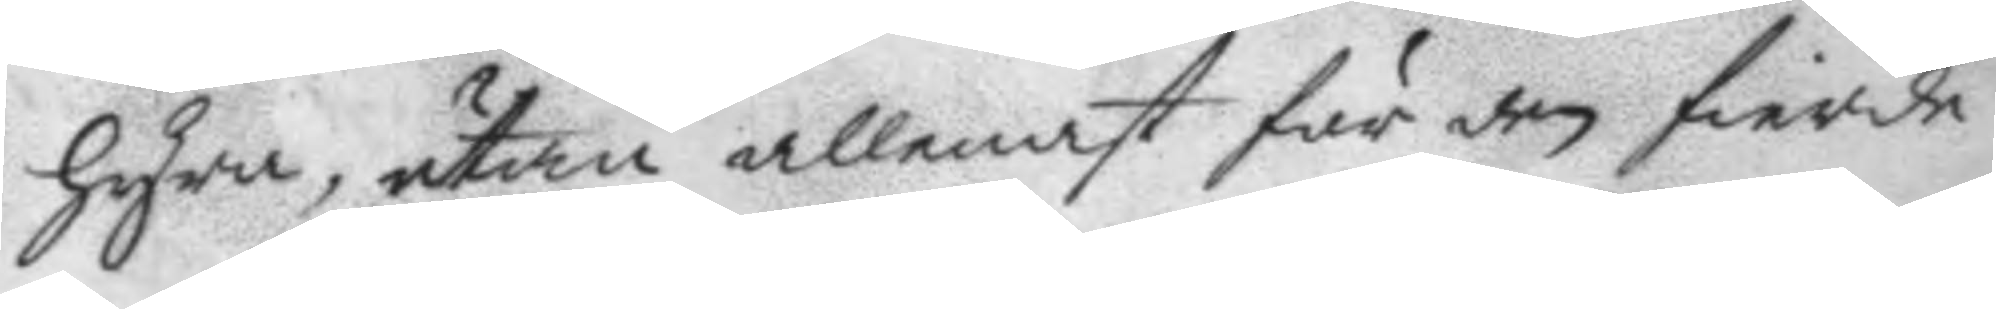hyra, utan allenast för den fierde
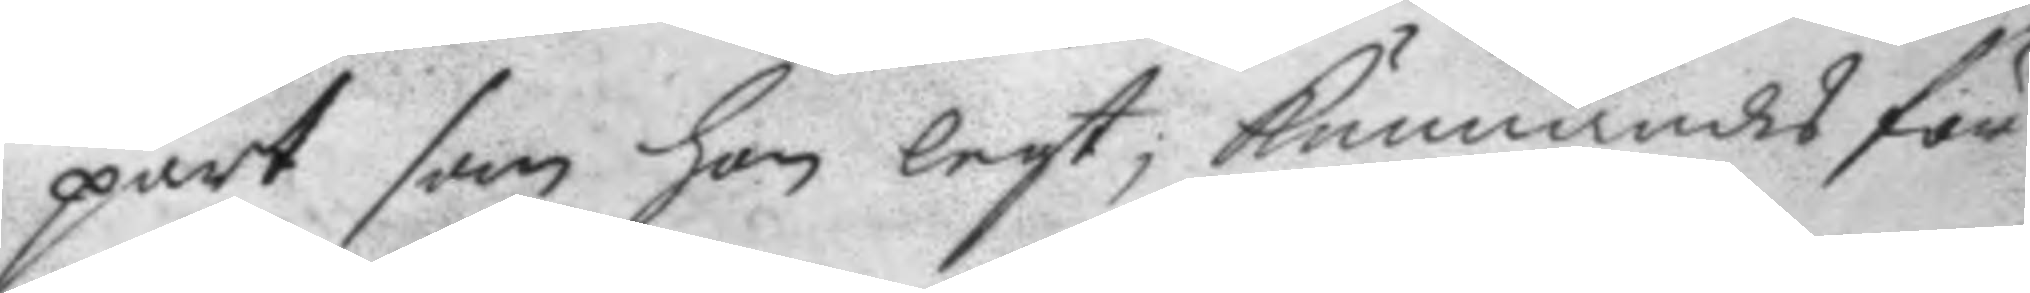part som hon lejt, kunnandes för
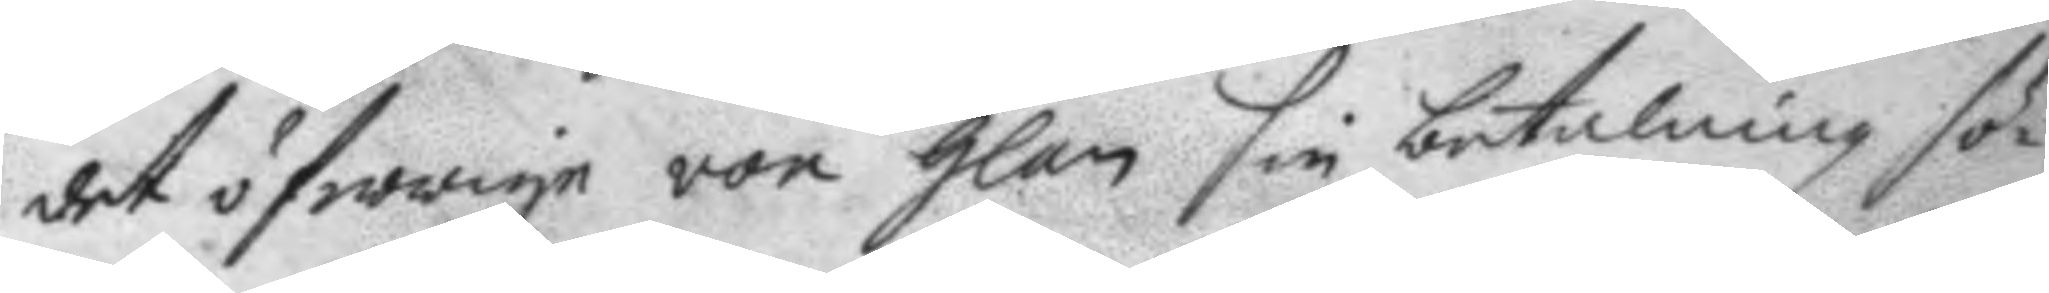det öfwrige von Glan sin betalning sö¬
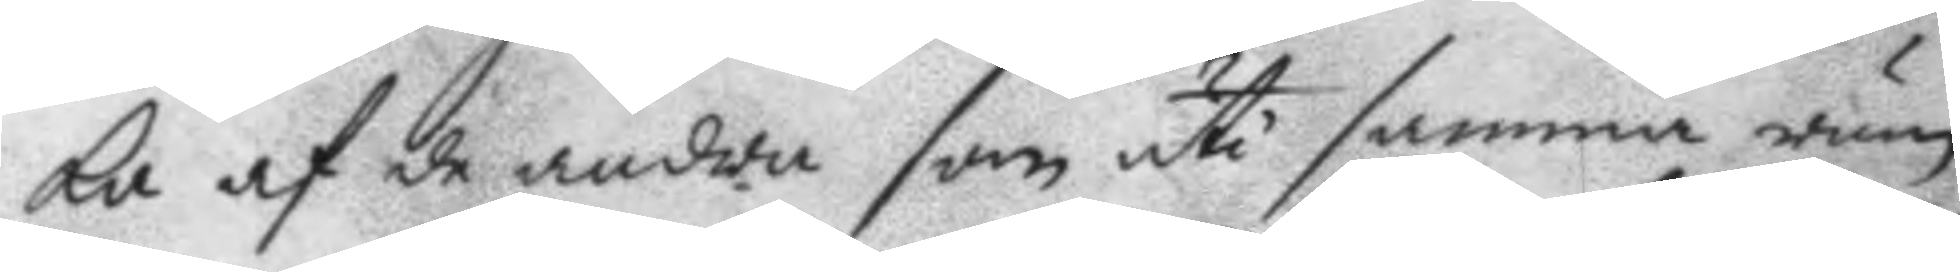ka af de andra som uti samma rum
